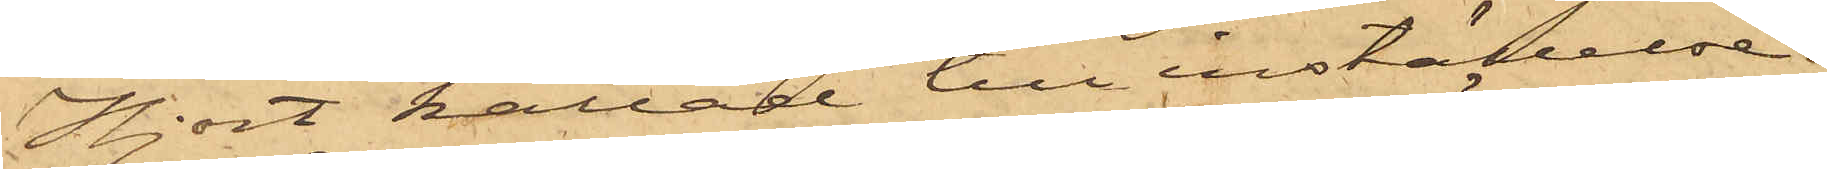Hjort kallad till inställelse
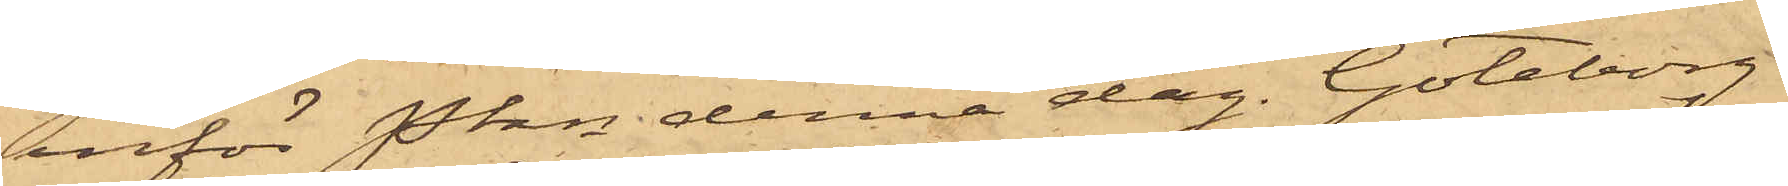inför Pkn denna dag. Göteborg
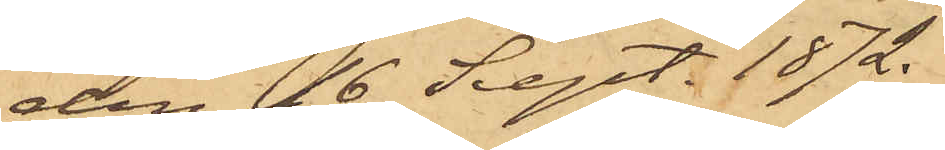den 16 Sept. 1872.
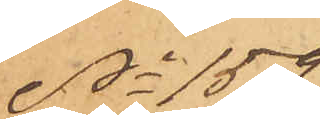No 159
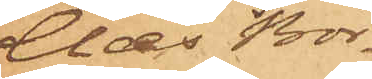Claes Bör¬
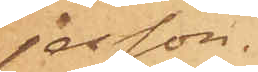jesson.
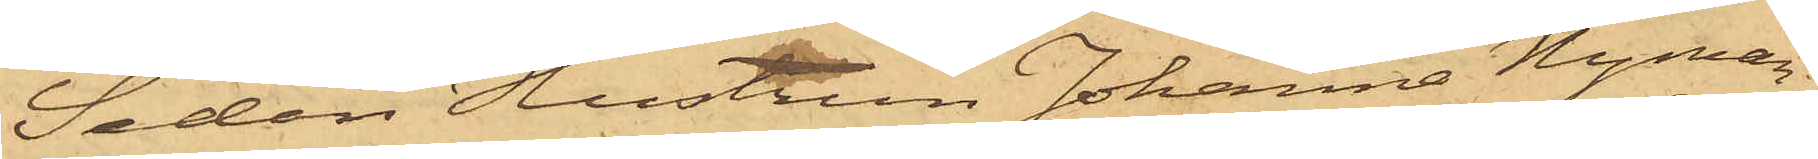Sedan Hustrun Johanna Nyman,
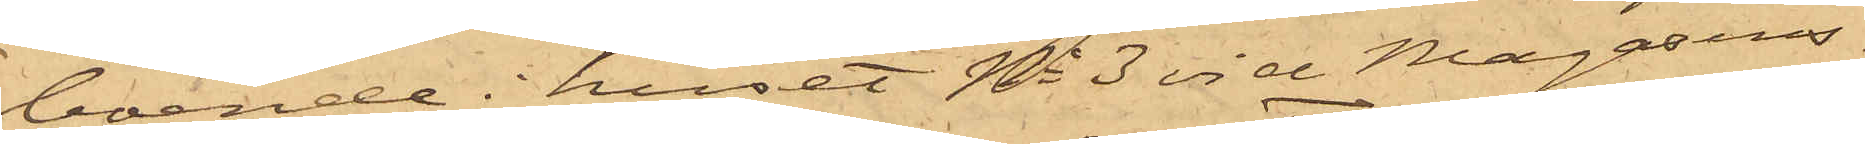boende i huset No 3 vid Magasins¬
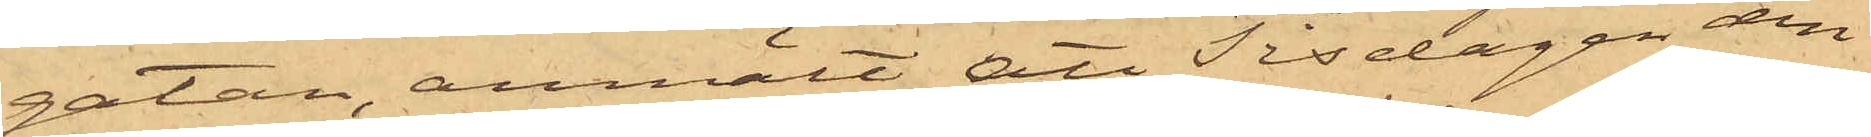gatan, anmält att Tisdagen den
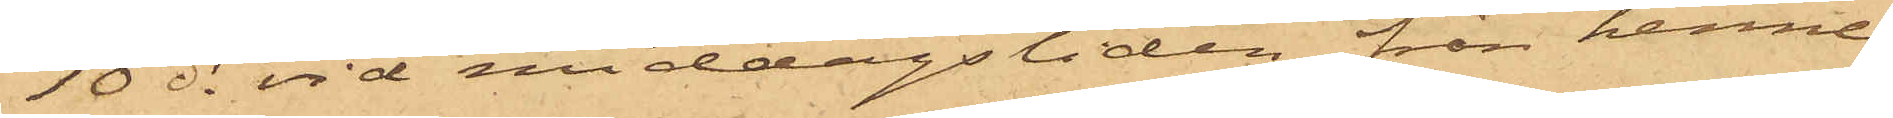10 ds vid middagstiden från henne
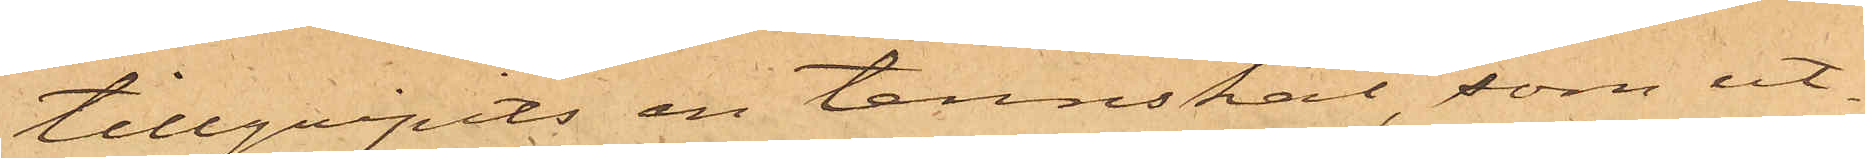tillgripits en tennskål, som ut¬
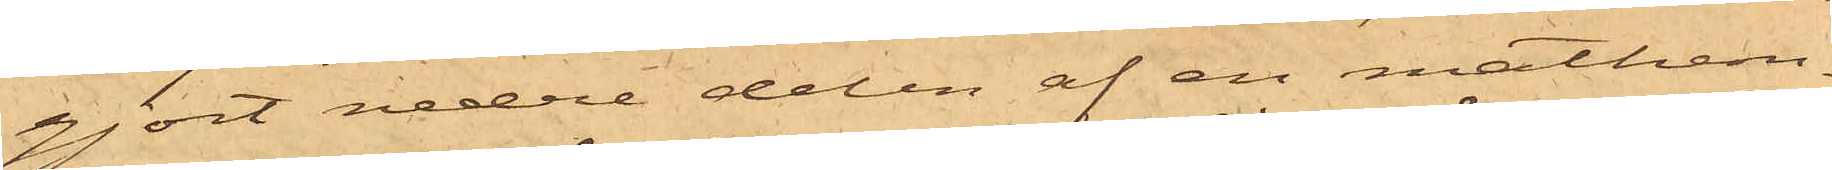gjort nedre delen af en mathem¬
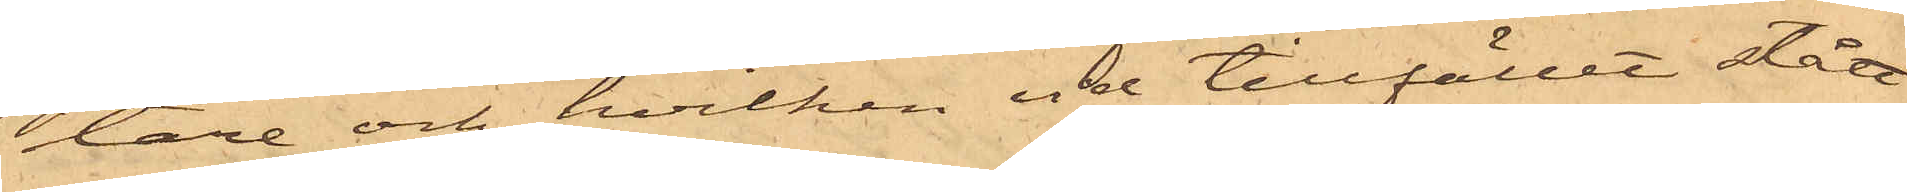tare och hvilken vid tillfället stått
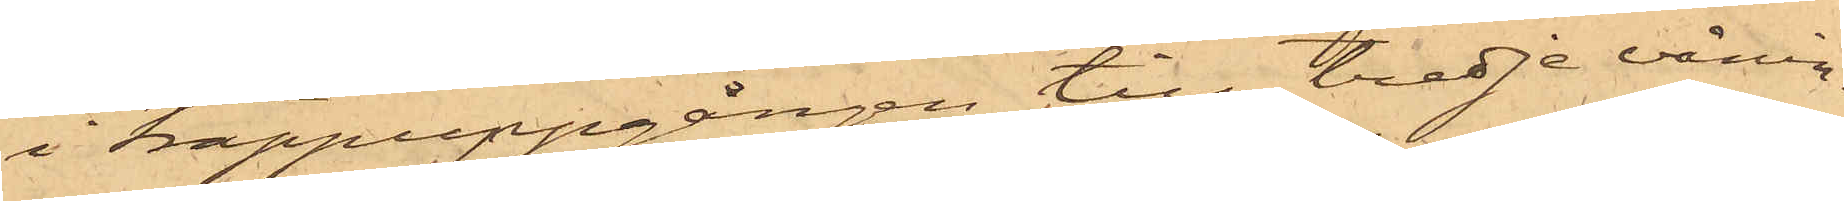i trappuppgången till tredje vånin¬
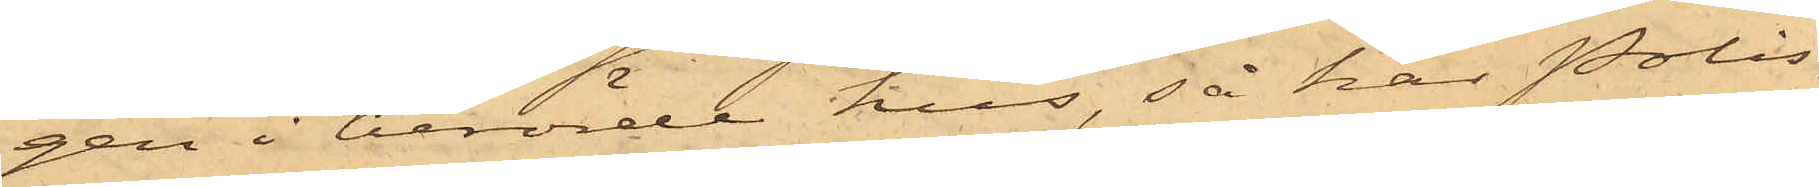gen i berörde hus, så har Polis¬
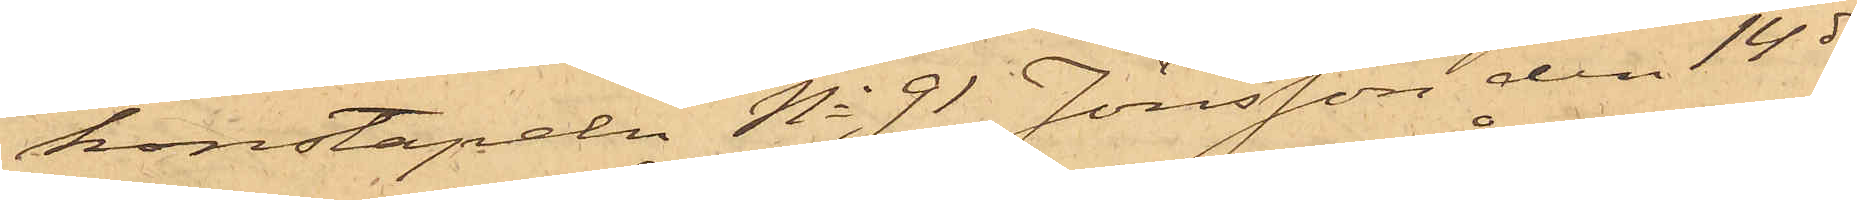konstapeln No 91 Jönsson den 14 ds
